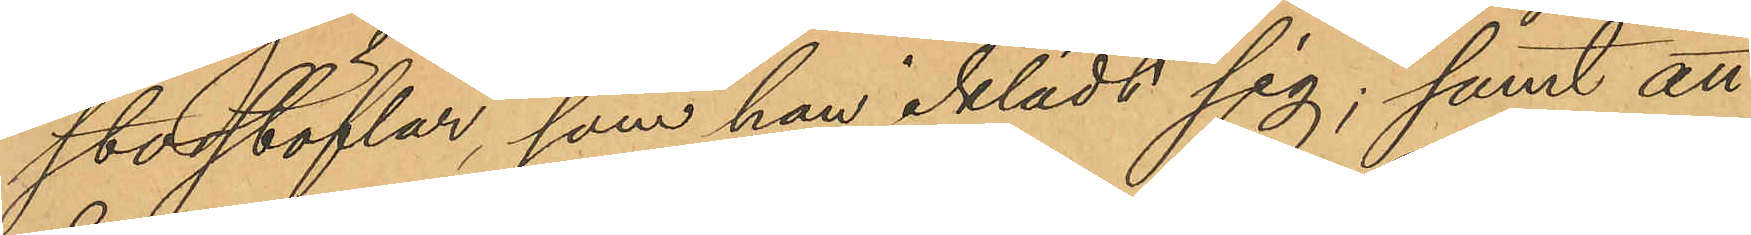storstöflar, som han iklädt sig; samt att
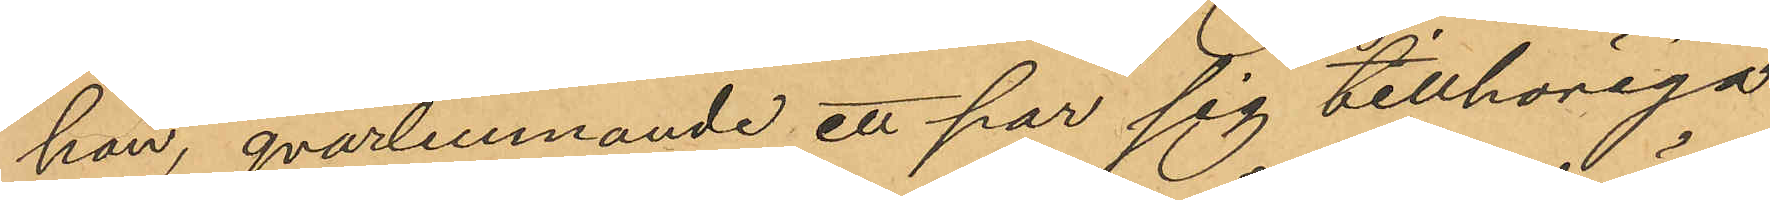han, qvarlemnande ett par sig tillhöriga
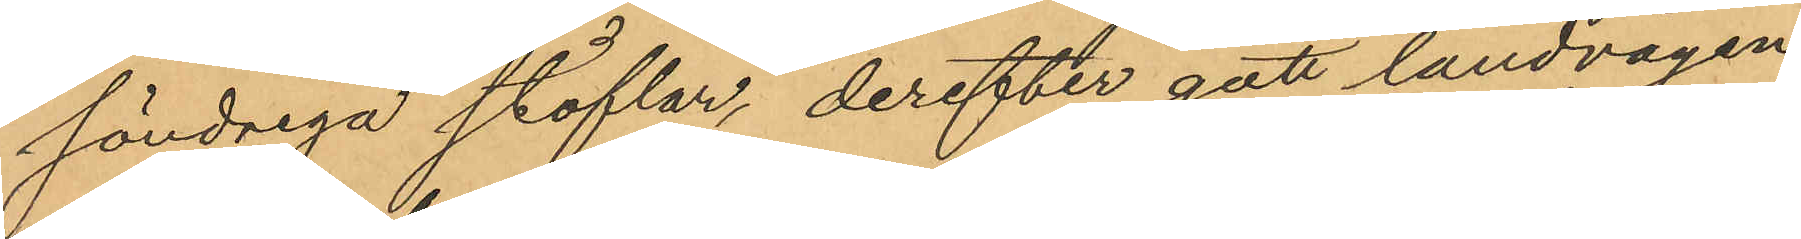söndriga stöflar, derefter gått landvägen
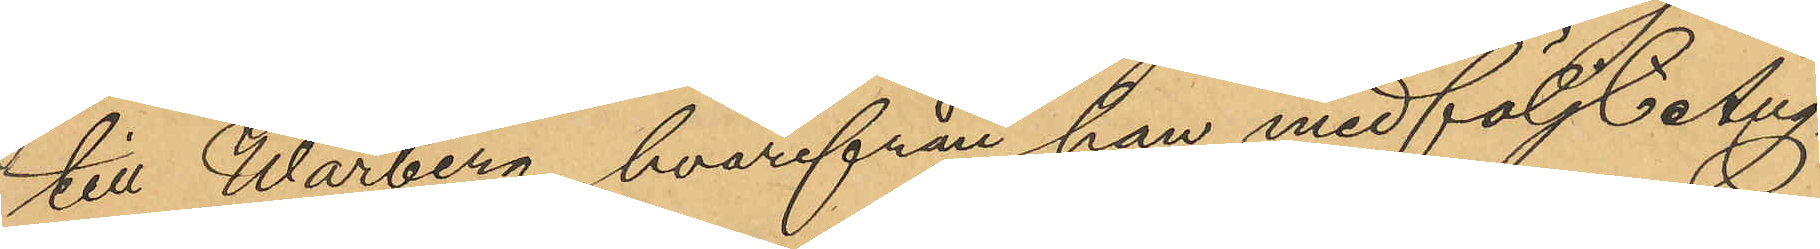till Warberg, hvarifrån han medföljt Ång¬
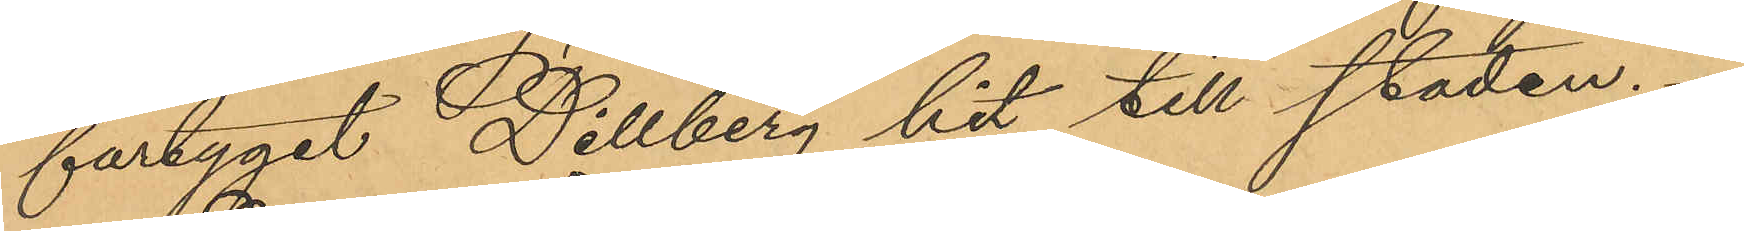fartyget Dillberg hit till staden.
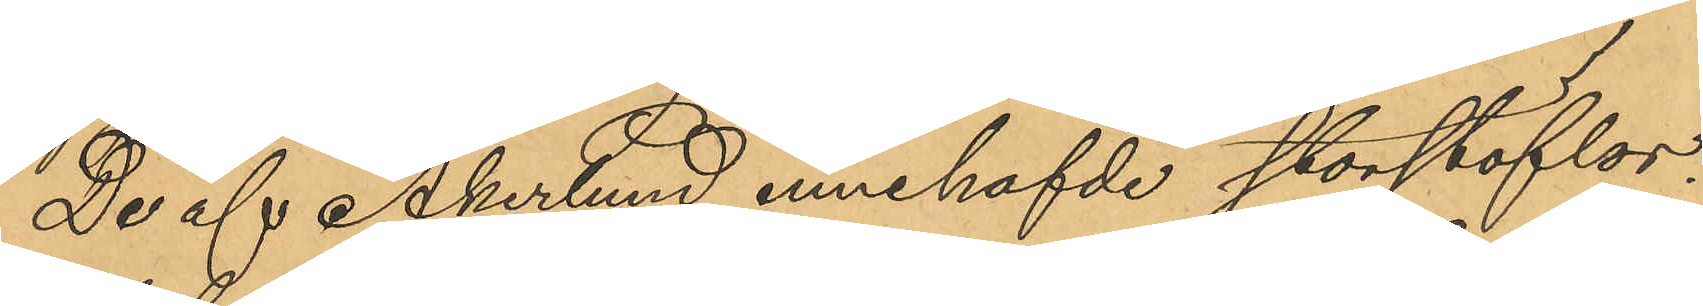De af Åkerlund innehafvde storstöflar¬
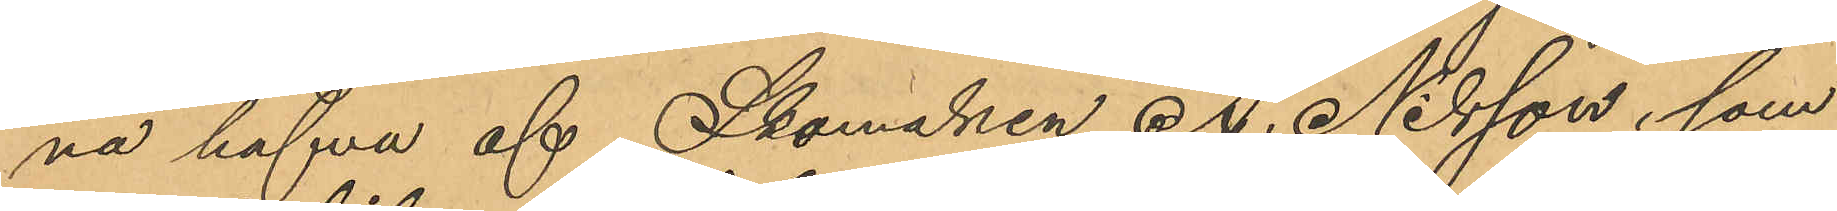na hafva af Skomaken A. Nilsson, som
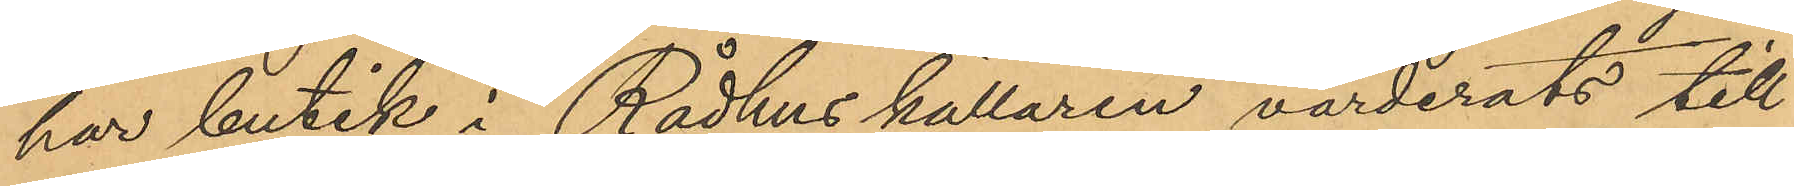har butik i Rådhuskällaren, värderats till
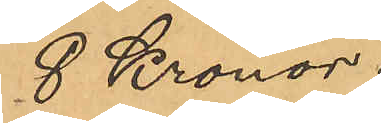8 Kronor.
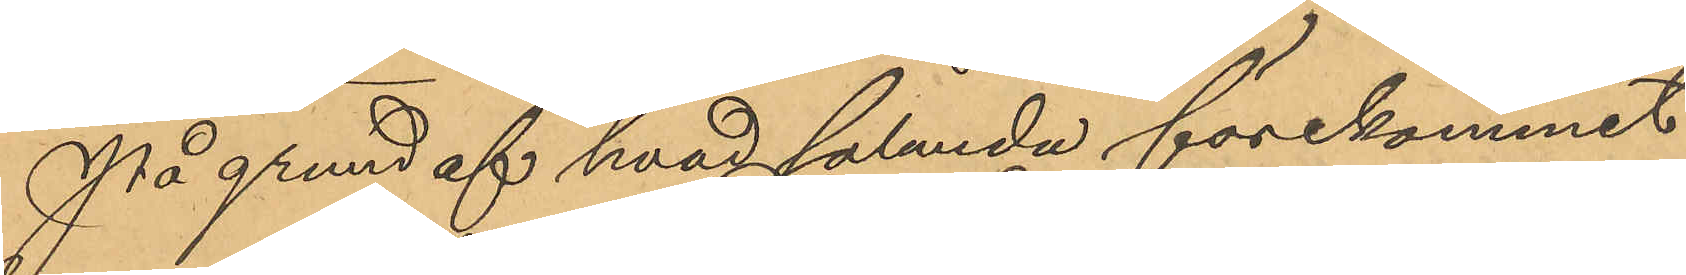På grund af hvad sålunda förekommit
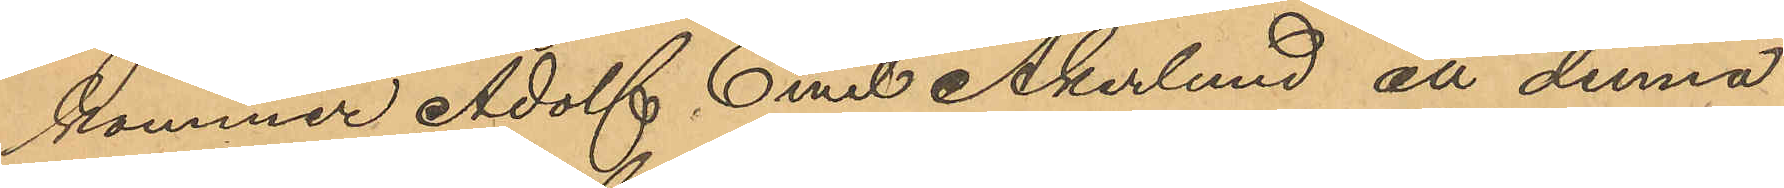kommer Adolf Emil Åkerlund, att denna
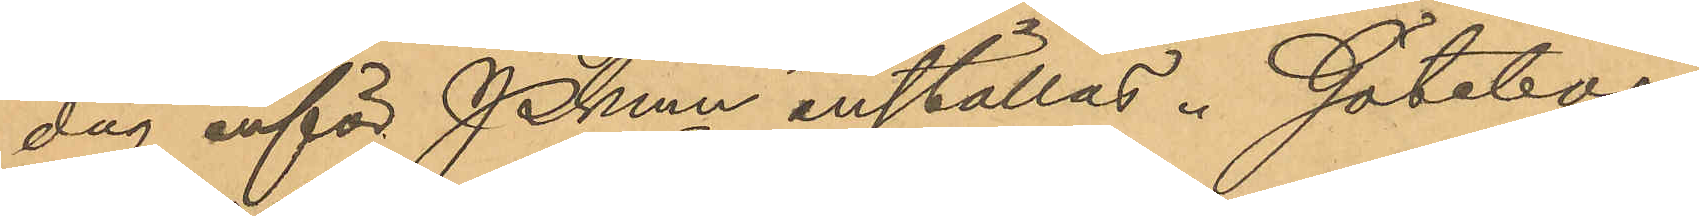dag inför PKmn inställas. Göteborg
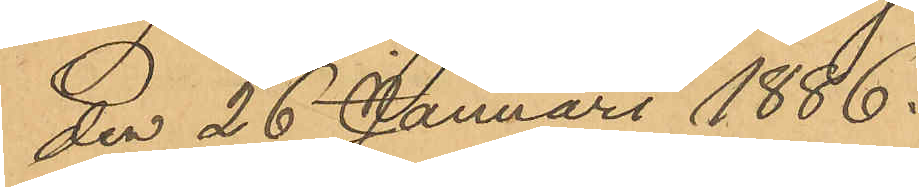den 26 Januari 1886.
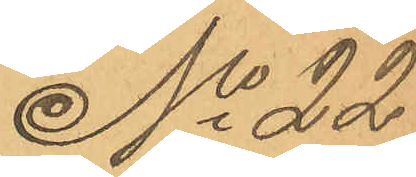No 22
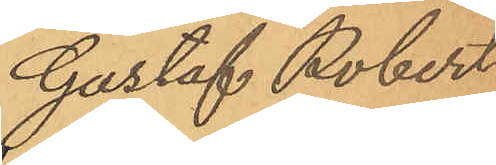Gustaf Robert
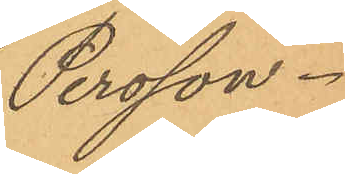Persson.
